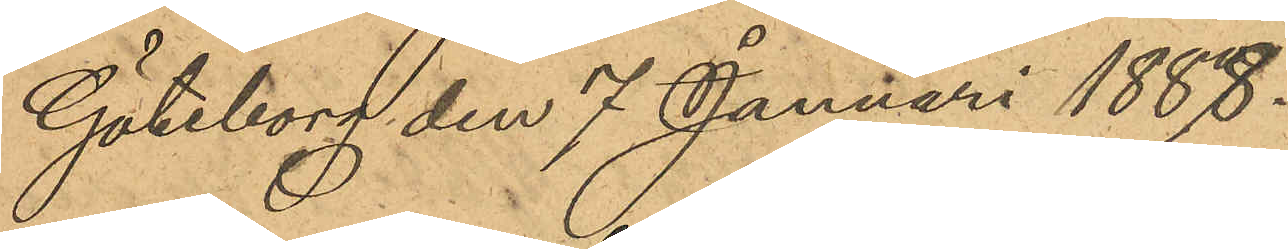Göteborg den 7 Januari 1888.
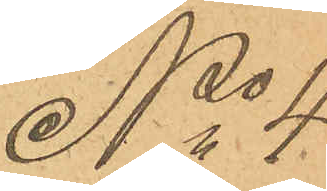No 4
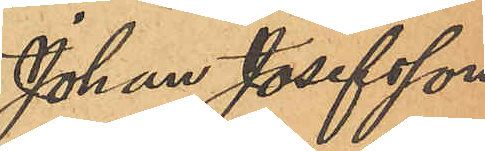Johan Josefsson
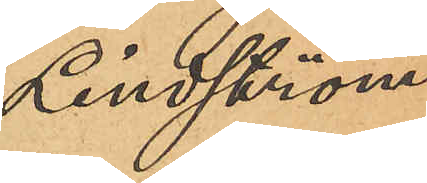Lindström
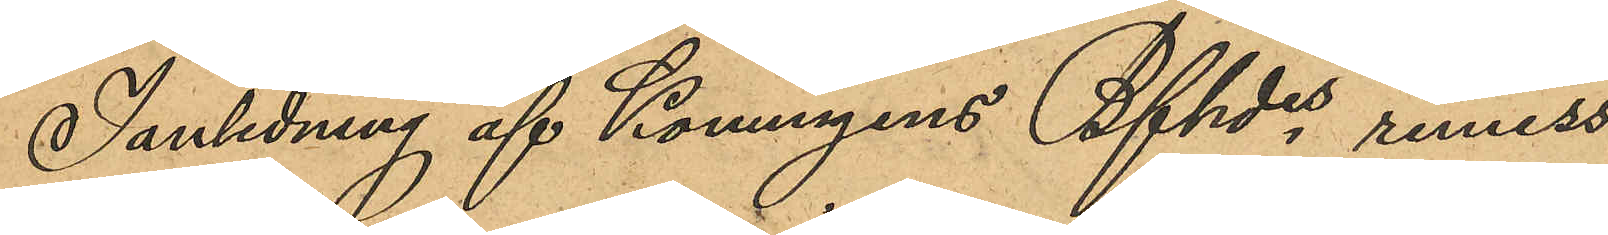I anledning af Konungens Bfhdes, remiss
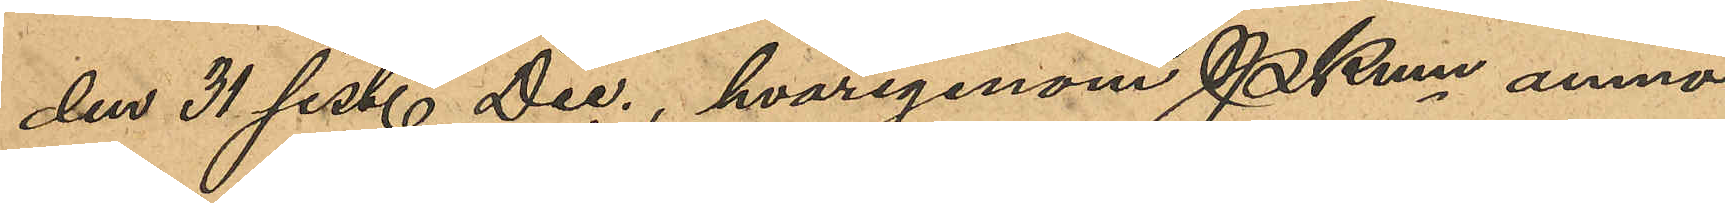den 31 sist. Dec., hvarigenom PKmn anmo¬
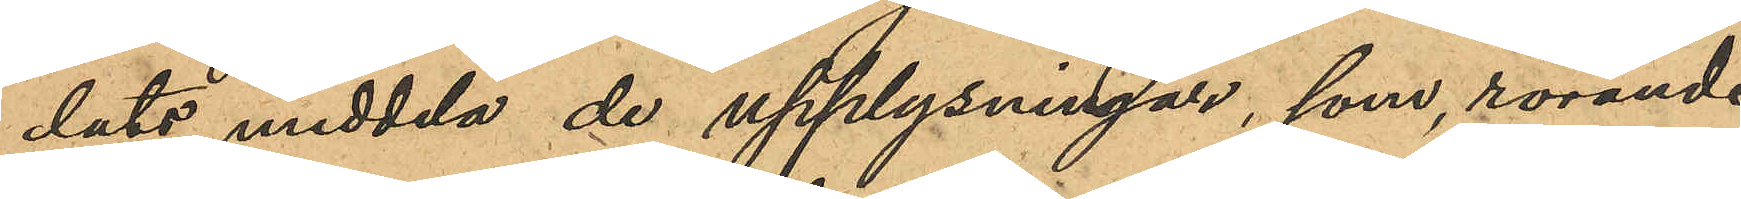dats meddela de upplysningar, som rörande
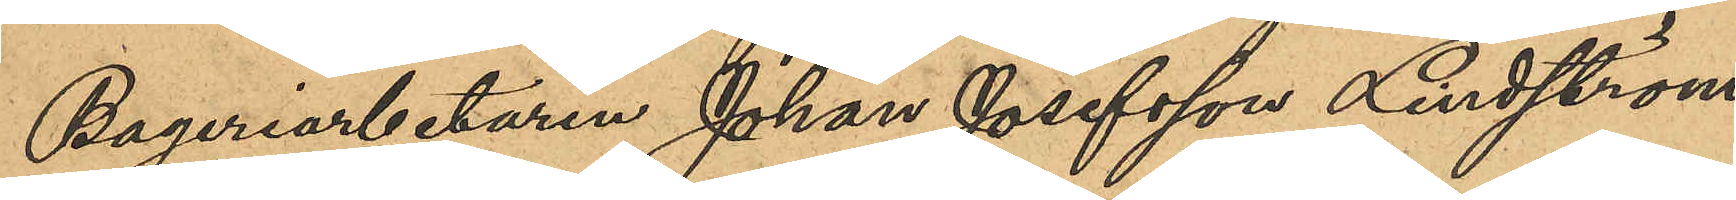Bageriarbetaren Johan Josefsson Lindström,
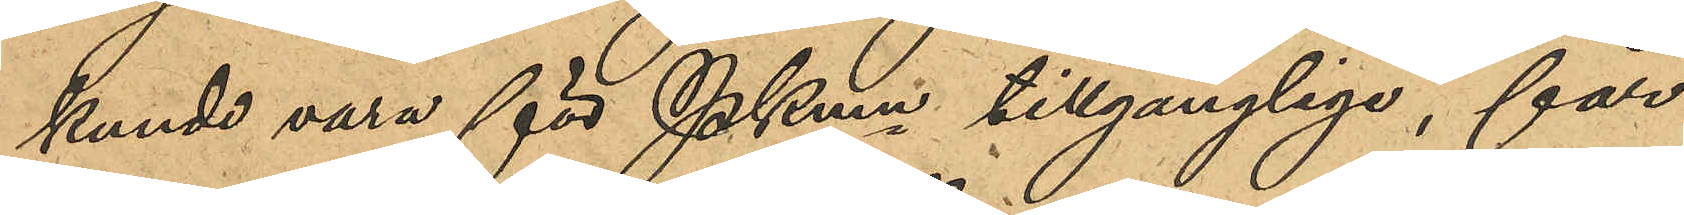kunde vara för PKmn tillgänglige, får
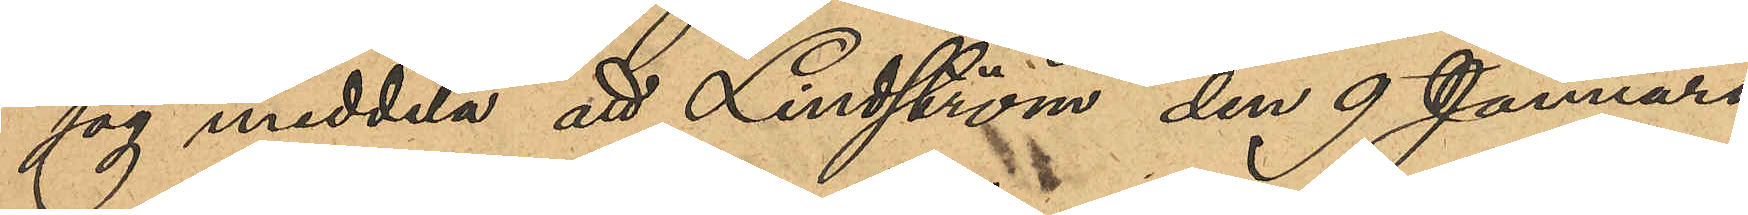jag meddela att Lindström den 9 Januari
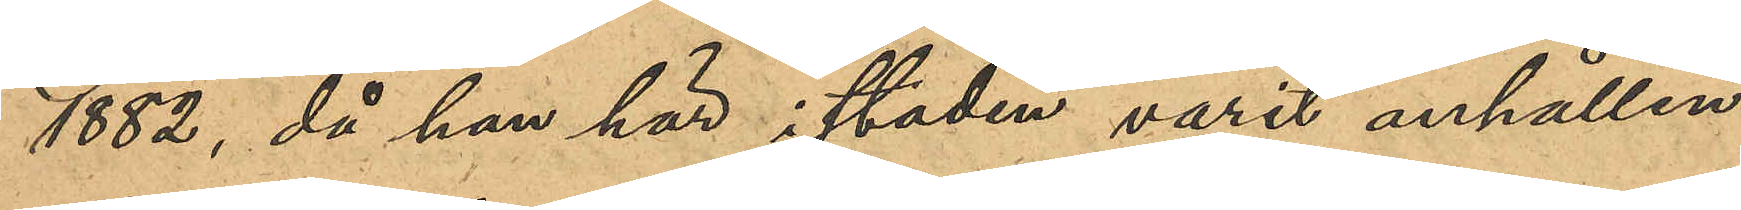1882, då han här i staden varit anhållen
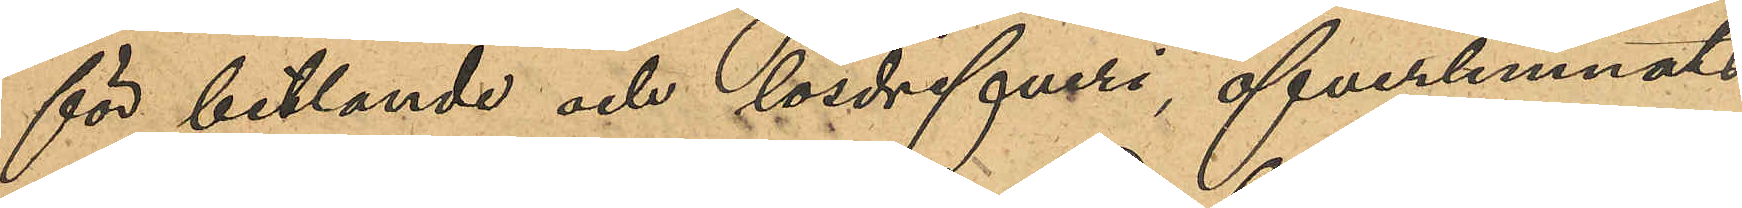för betlande och lösdrifveri, öfverlemnats
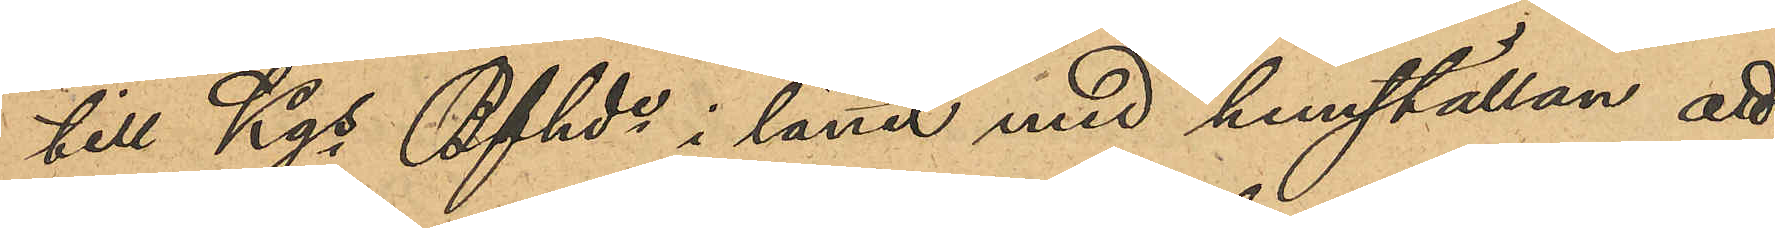till Kgs Bfhde i länet med hemställan att
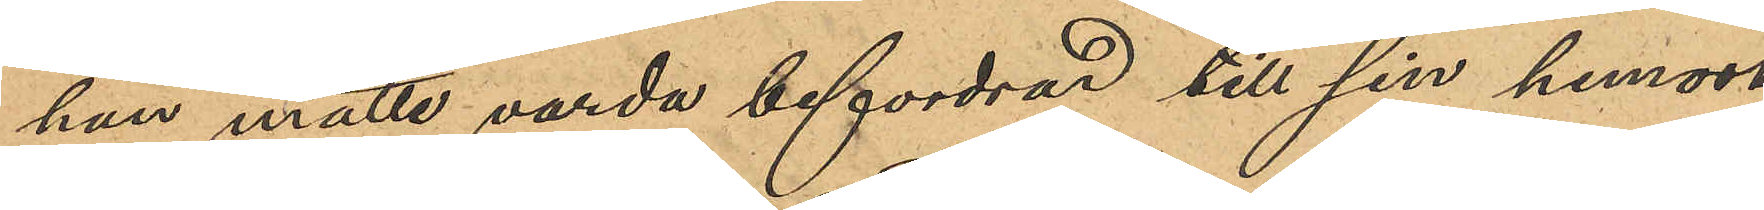han måtte varda befordrad till sin hemort
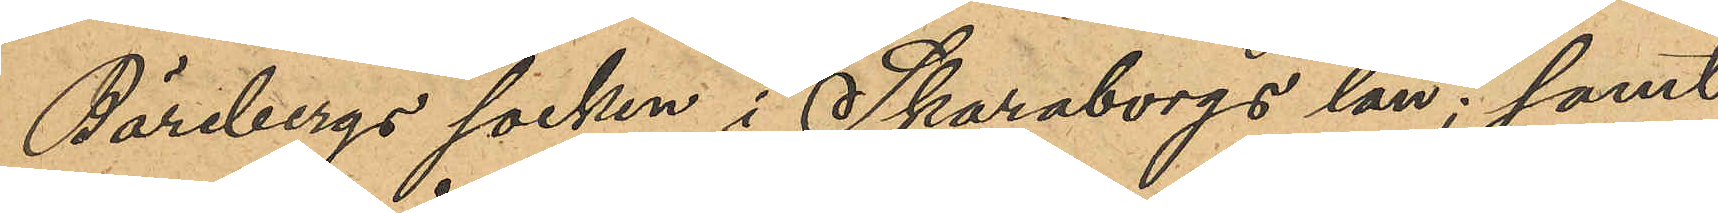Bärebergs socken i Skaraborgs län; samt
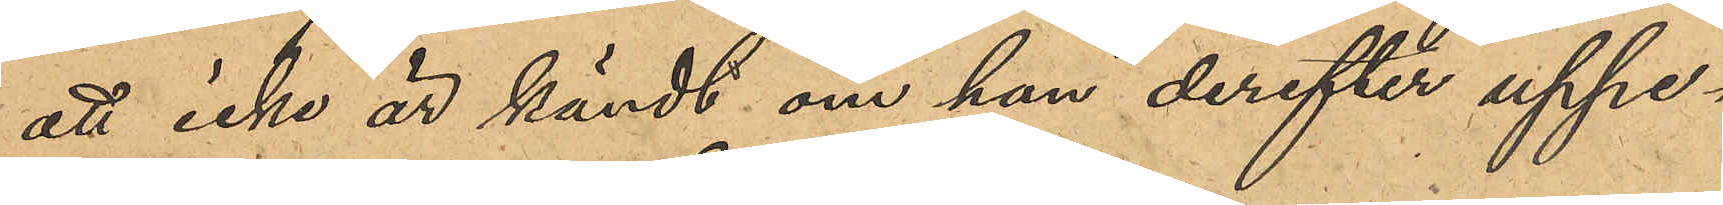att icke är kändt om han derefter uppe¬
